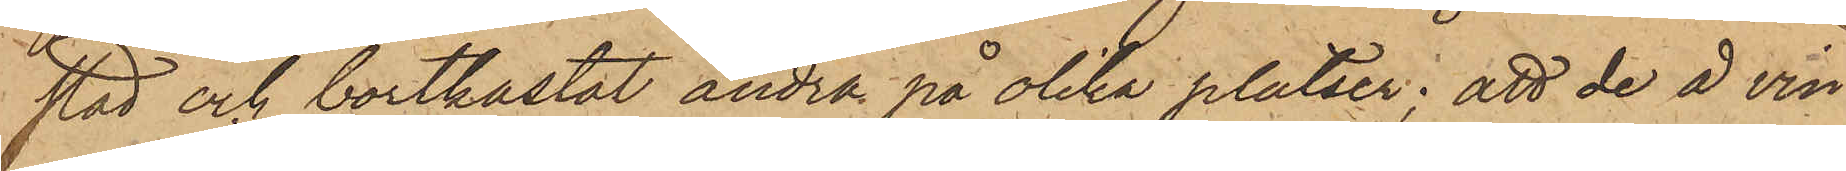stad och bortkastat andra på olika platser; att de å vin¬
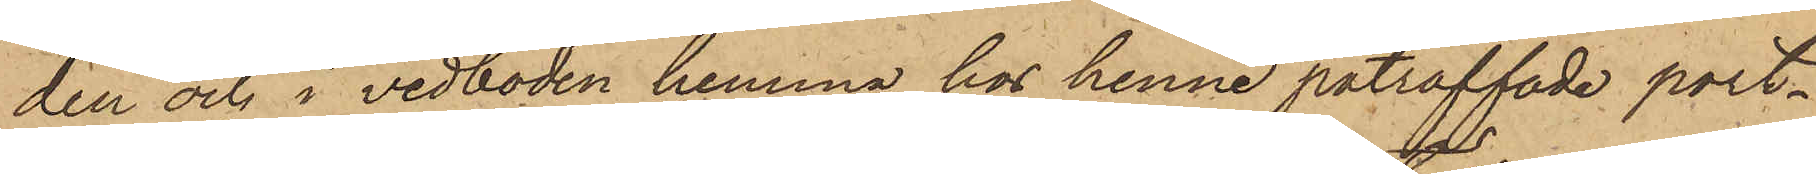den och i vedboden hemma hos henne påträffade port¬
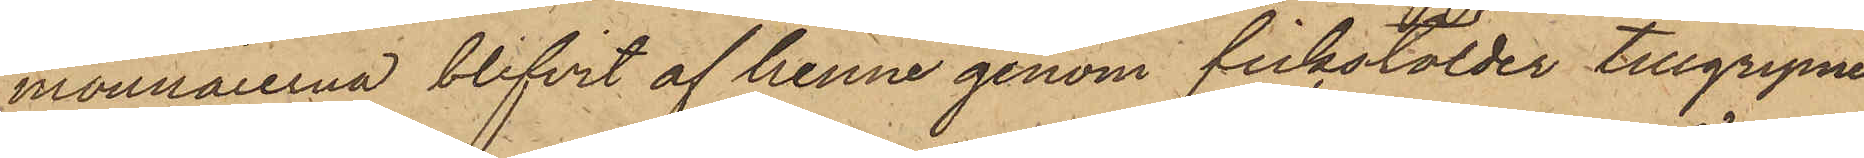monnaierna blifvit af henne genom fickstölder tillgripne
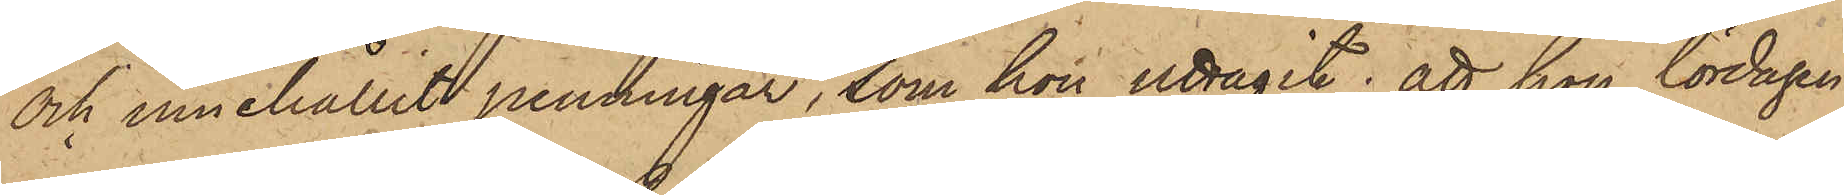och innehållit penningar, som hon uttagit; att hon lördagen
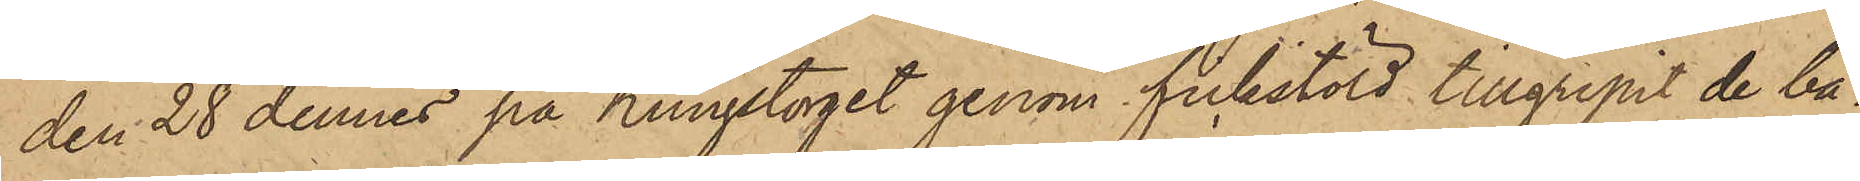den 28 dennes på Kungstorget genom fickstöld tillgripit de bå¬
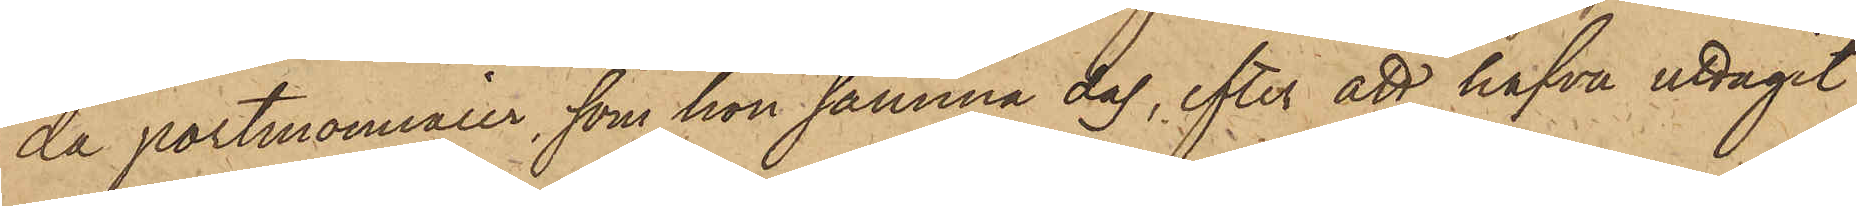da portmonnaier, som hon samma dag, efter att hafva uttagit
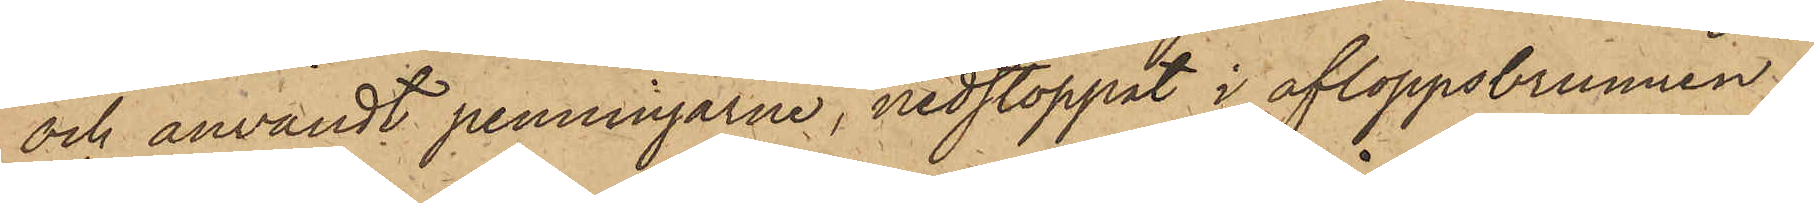och användt penningarne, nedstoppat i afloppsbrunnen;
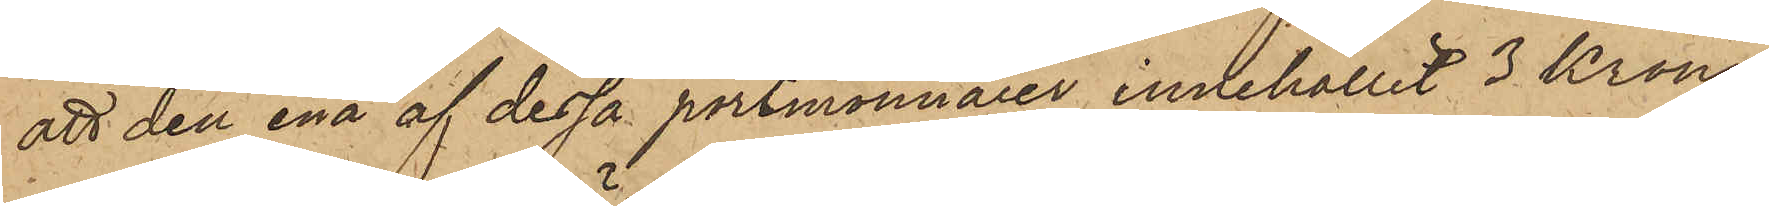att den ena af dessa portmonnaier innehållit 3 Kronor
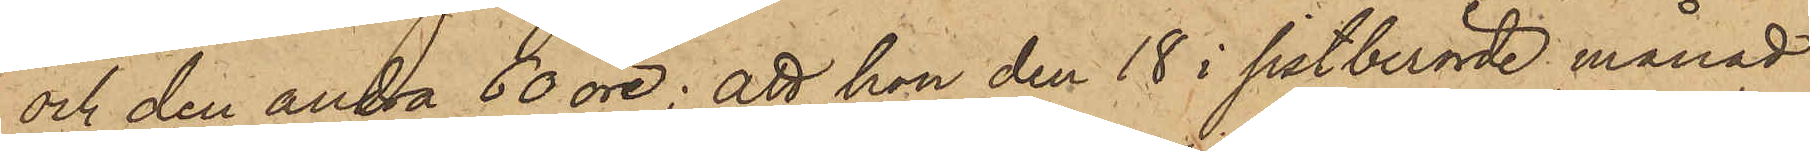och den andra 60 öre; att hon den 18 i sistberörde månad
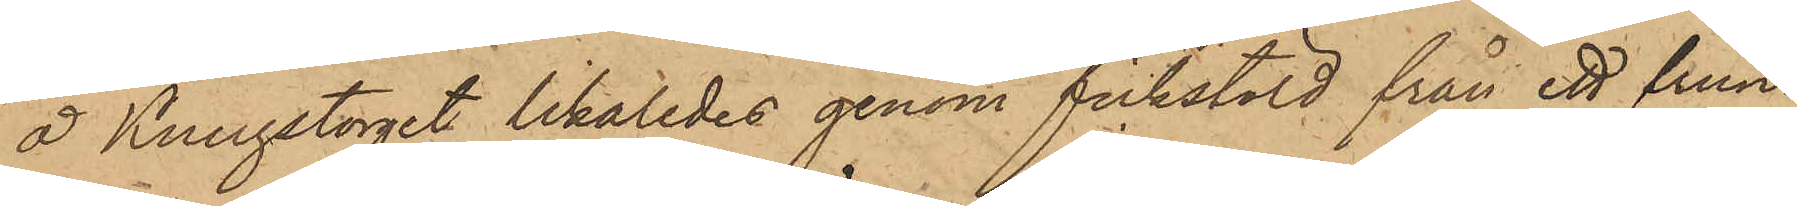å Kungstorget likaledes genom fickstöld från ett frun¬
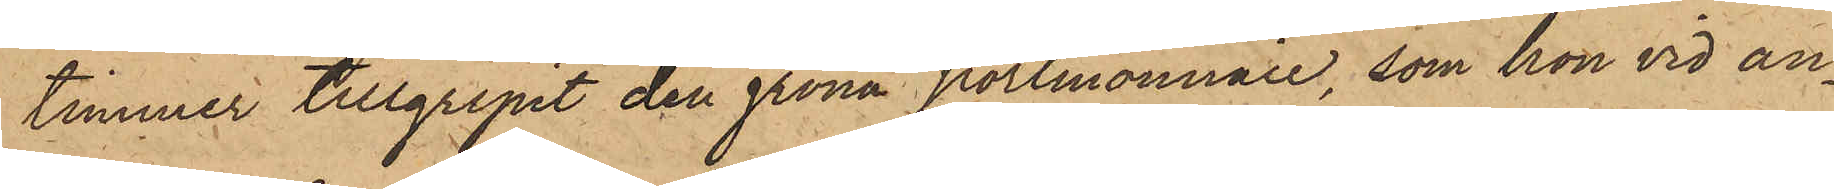timmer tillgripit den gröna portmonnaie, som hon vid an¬
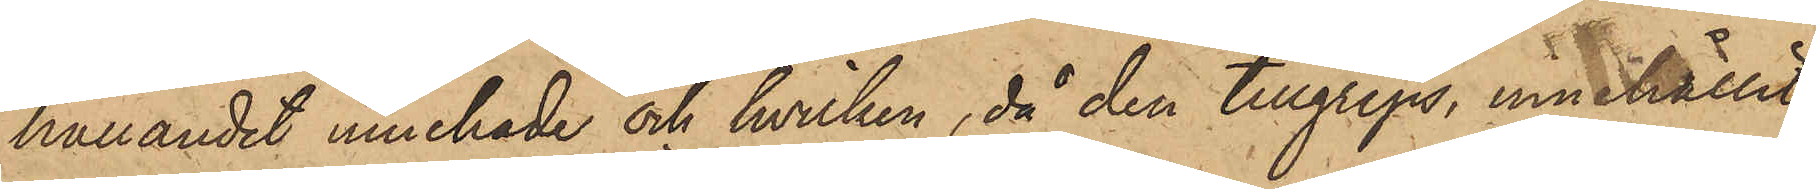hållandet innehade och hvilken, då den tillgreps, innehållit
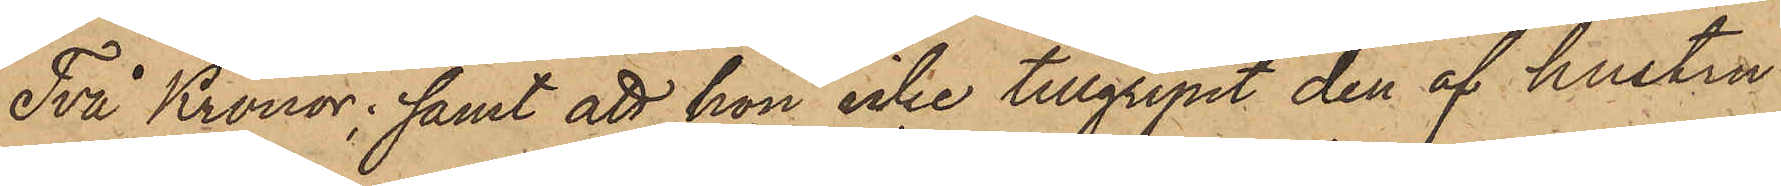Två Kronor; samt att hon icke tillgripit den af hustru
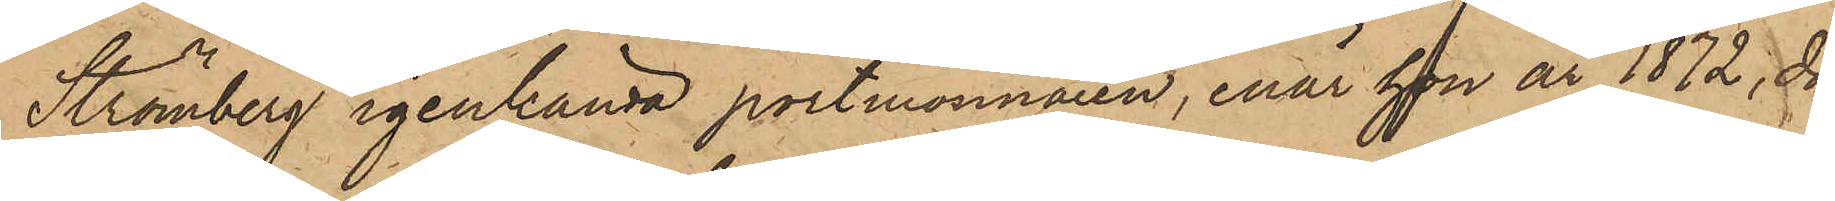Strömberg igenkända portmonnaien, enär hon år 1872, då
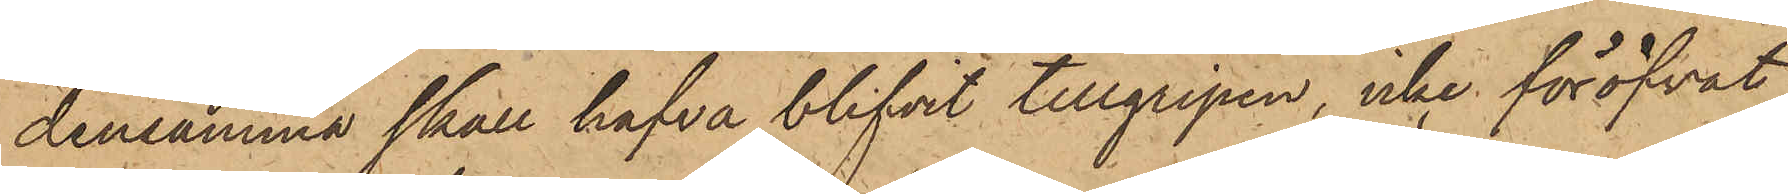densamma skall hafva blifvit tillgripen, icke föröfvat
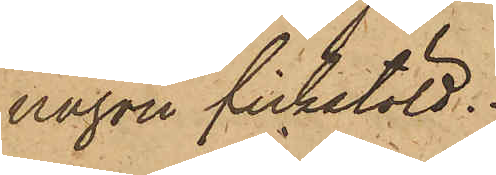någon fickstöld.
